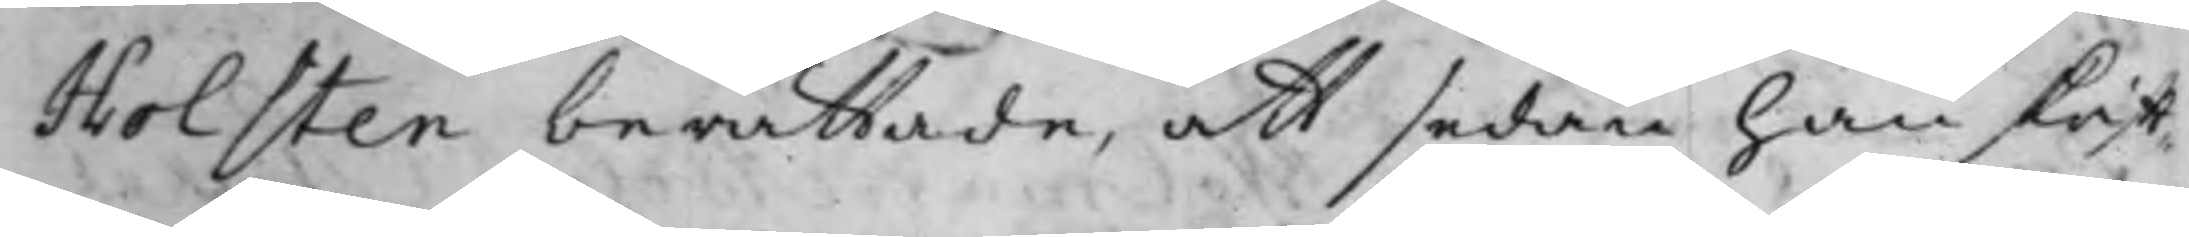Holsten berättade, att sedan han skrift¬
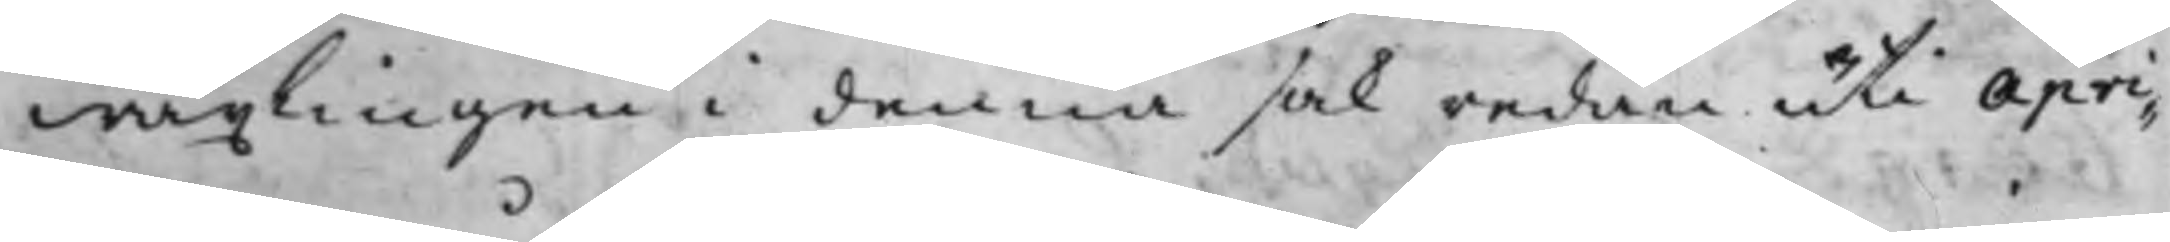wäxlingen i denna sak redan uti Apri¬
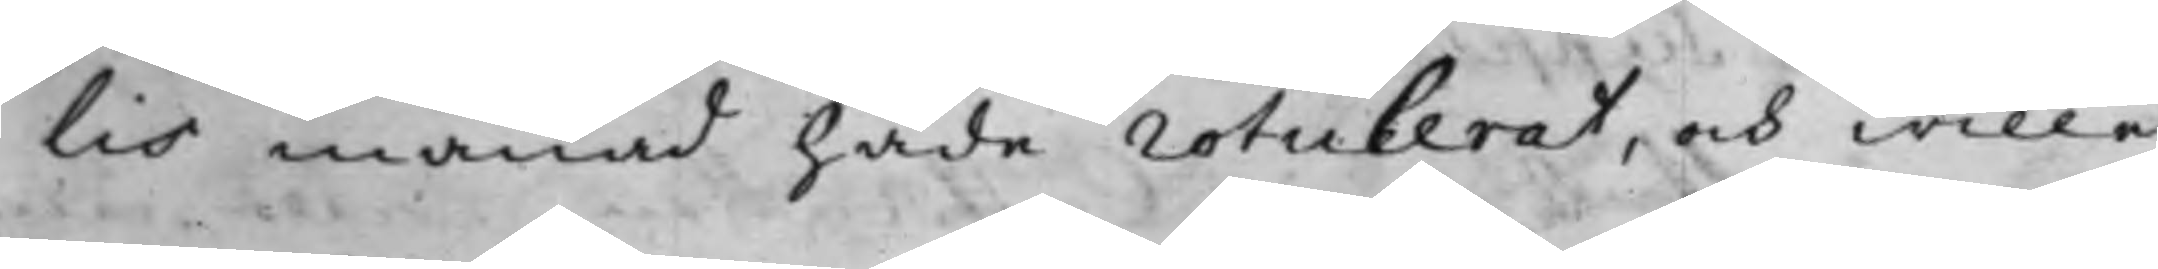lis månad hade rotulerat, och wille
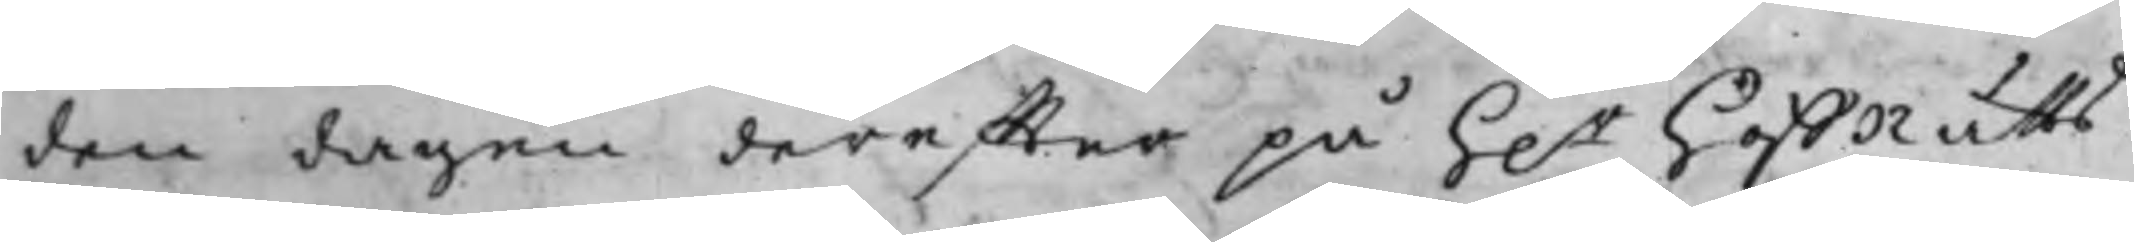den dagen dereffter på h.r hoffRätts¬
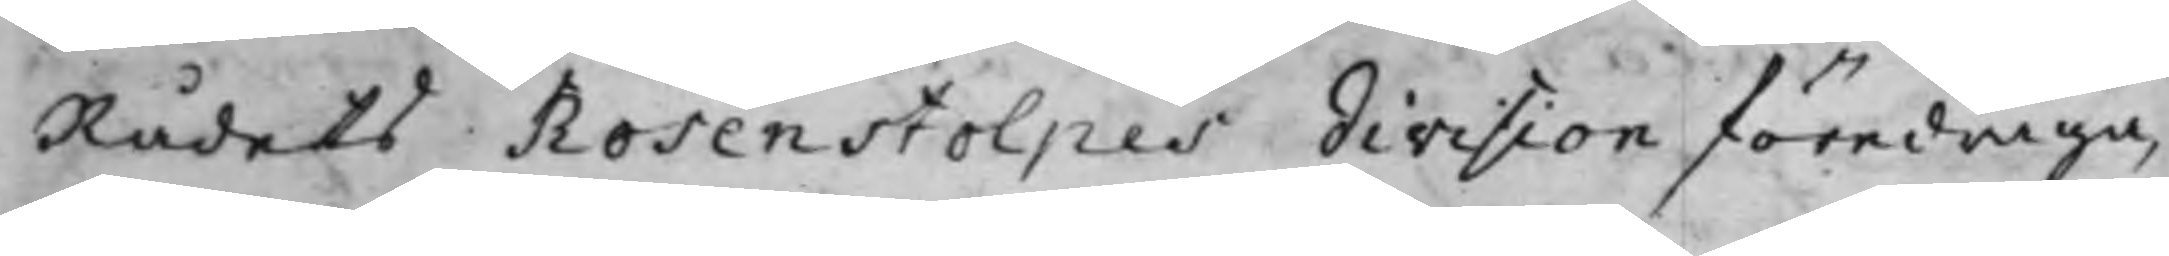Rådets Rosenstolpes division föredraga,
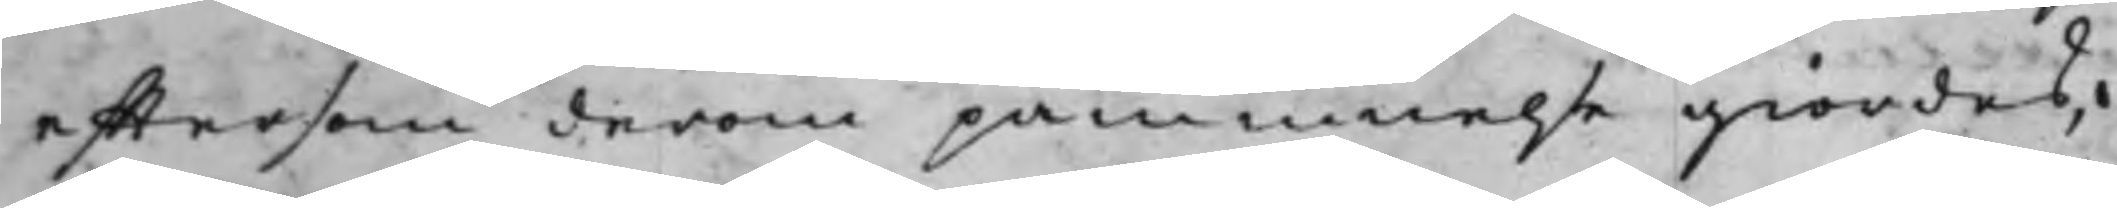efftersom derom påminnelse giordes,
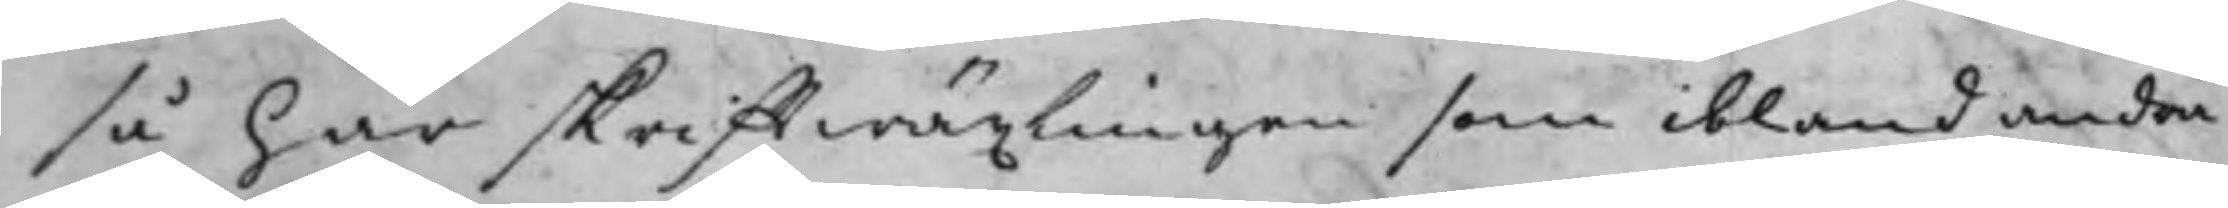så har skrifftwäxlingen som ibland andra
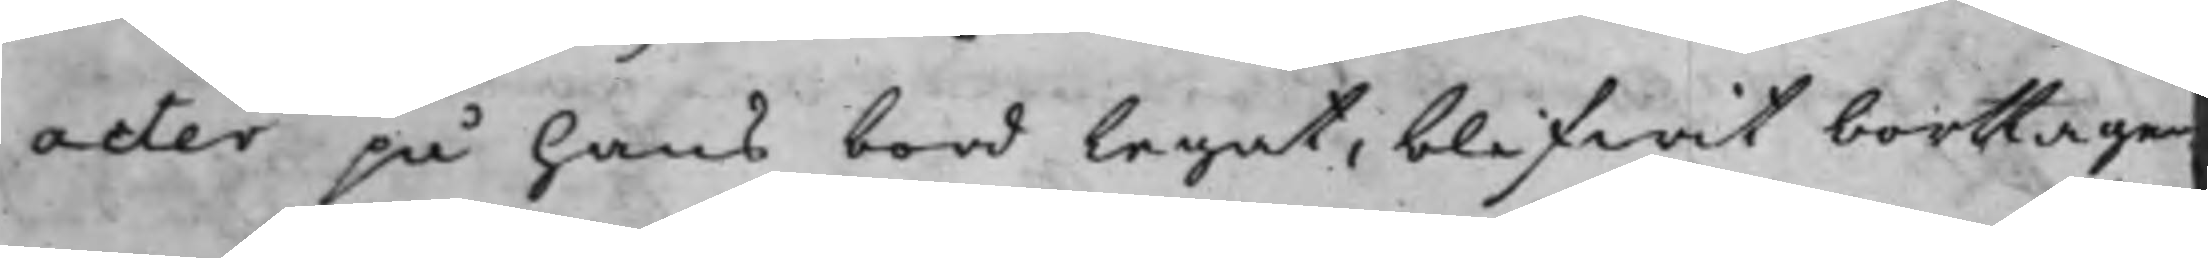acter på hans bord legat, blifwit borttagen.
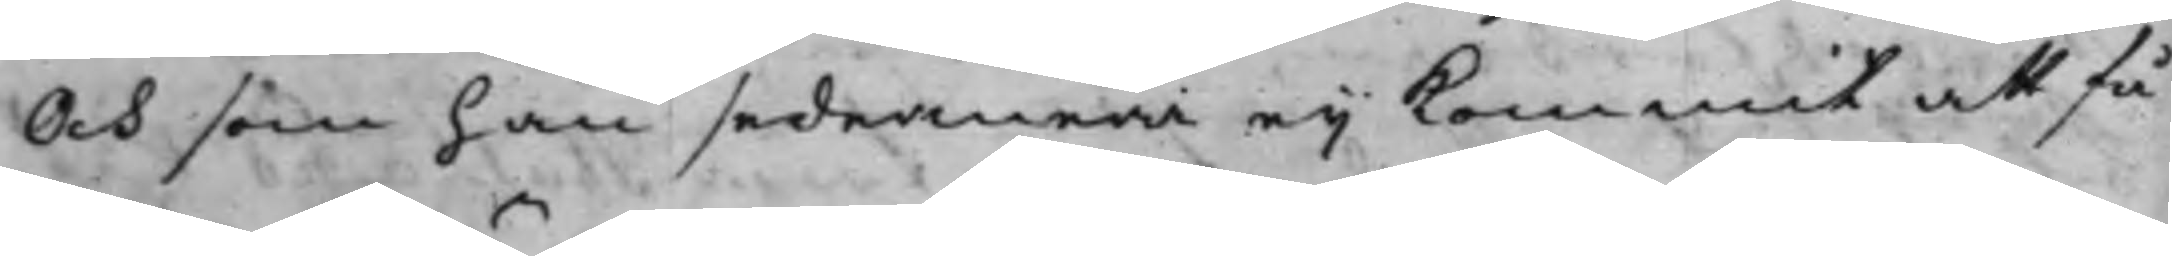Och som han sedermera eij kommit att få
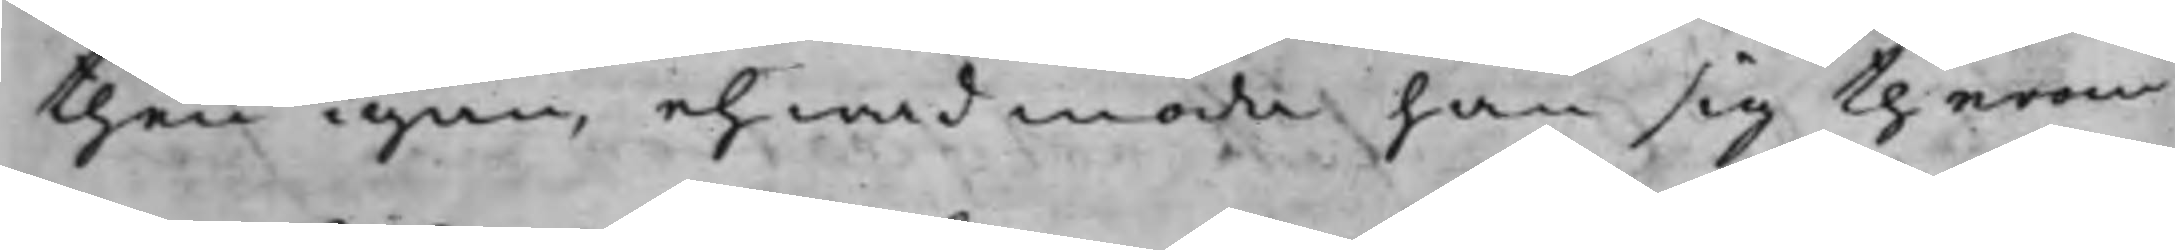then igen, ehwad möda han sig therom
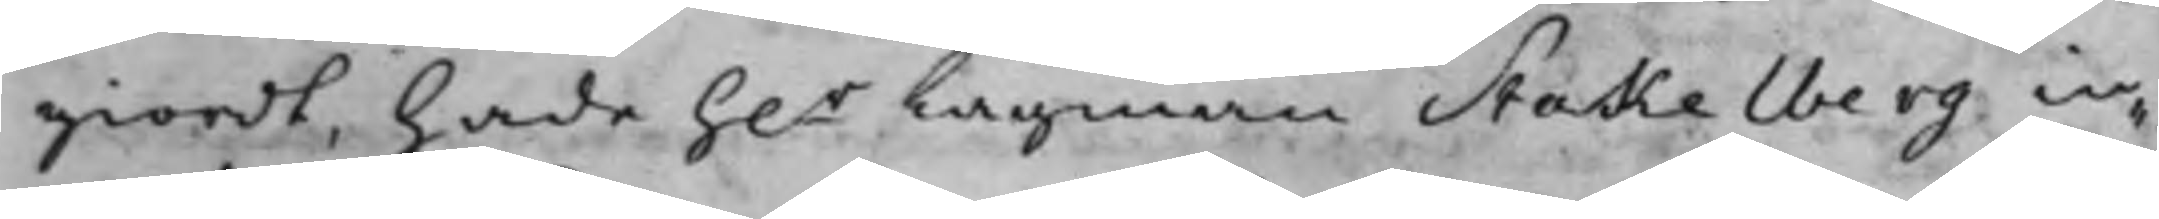giordt, hade h.r Lagman Stakelberg in¬
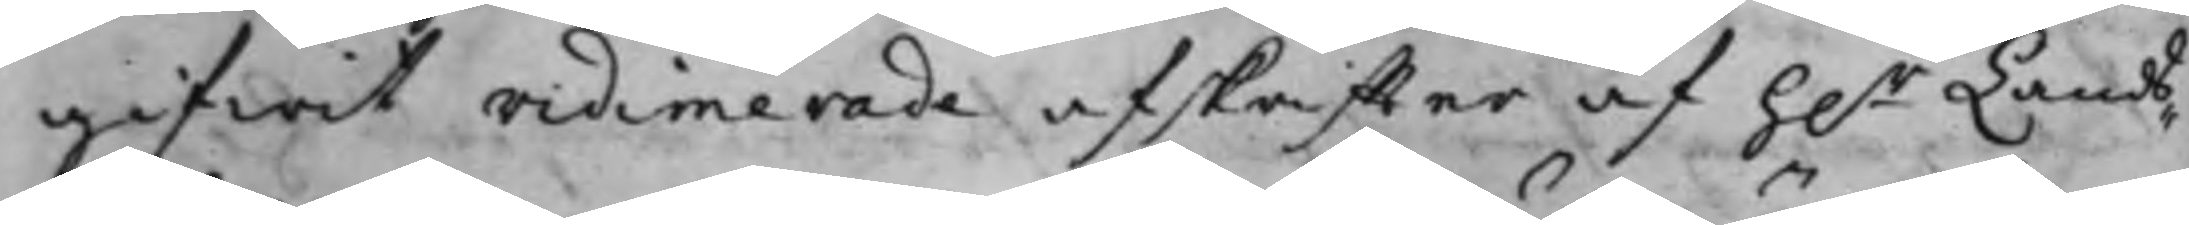gifwit vidimerade afskriffter af h.r Lands¬
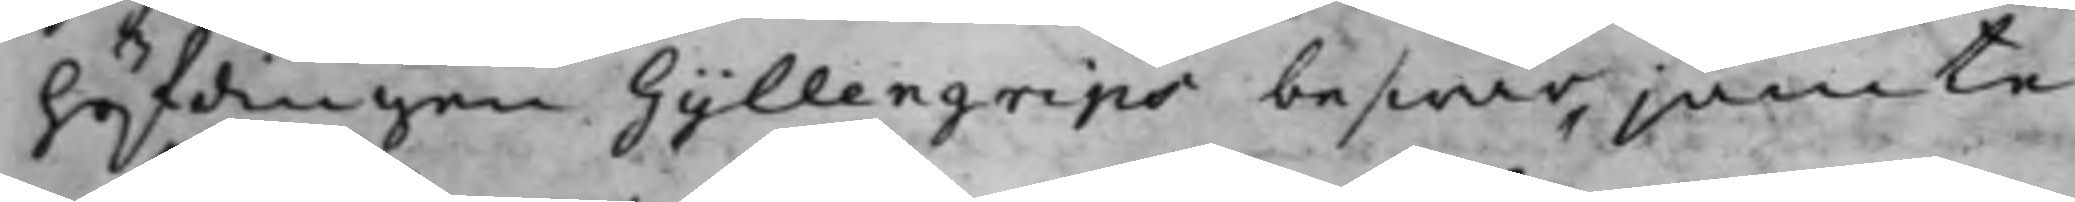höfdingen Gyllengrips beswär jämte
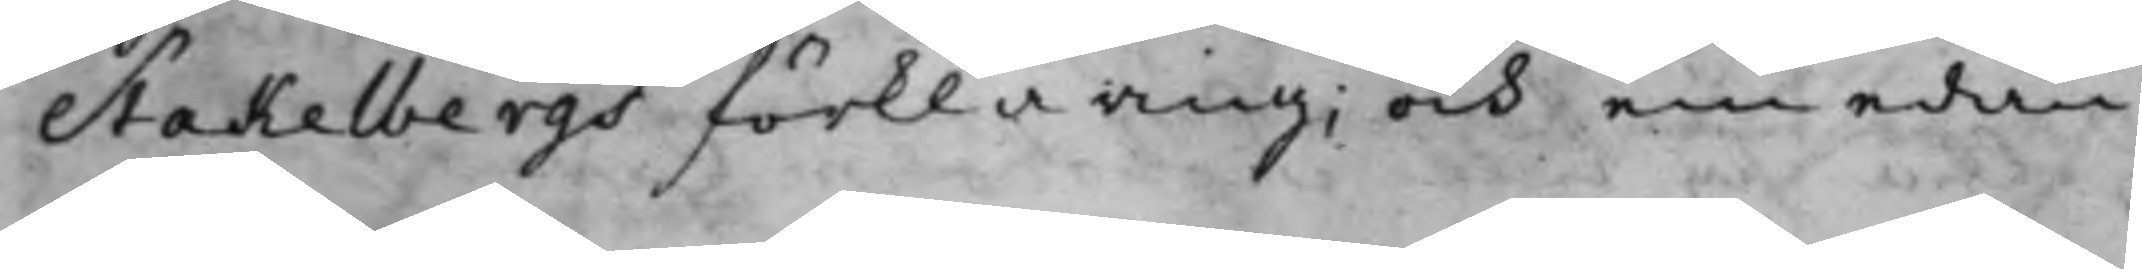Stakelbergs förklaring; och emedan
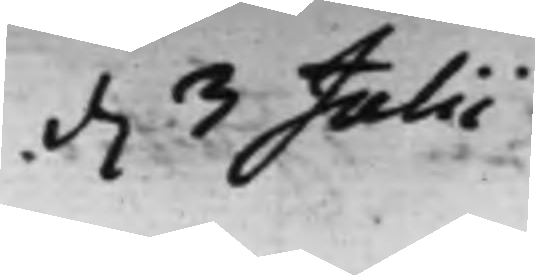d. 3 Julii
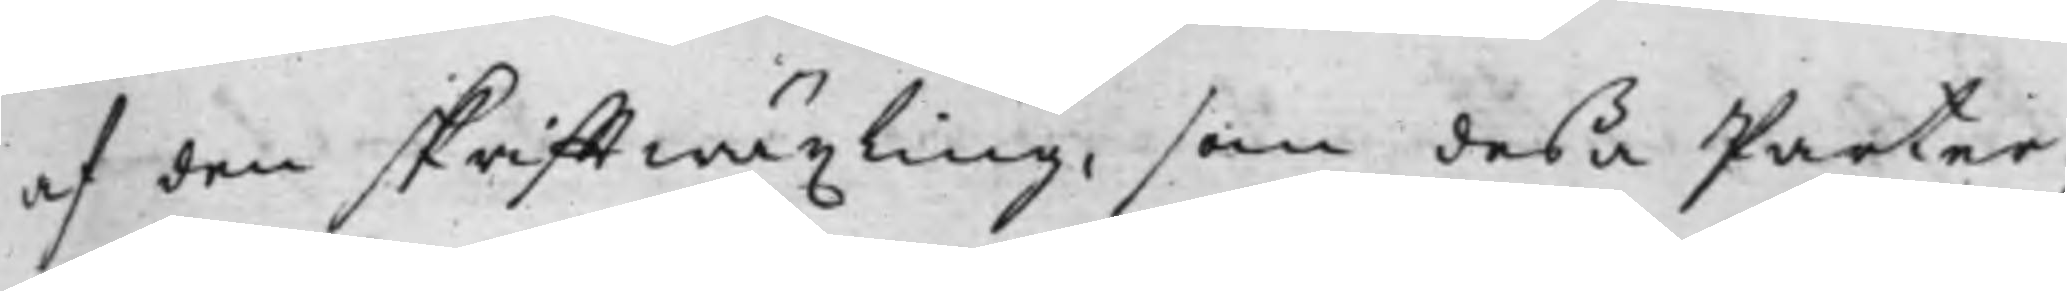af den skrifftwäxling, som deßa Parter
